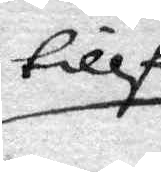tillf
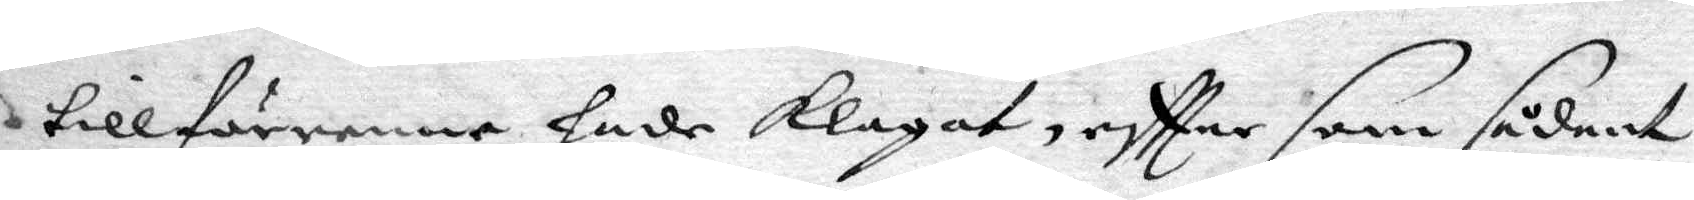tillföreenne hade klagat, eftter som sådant
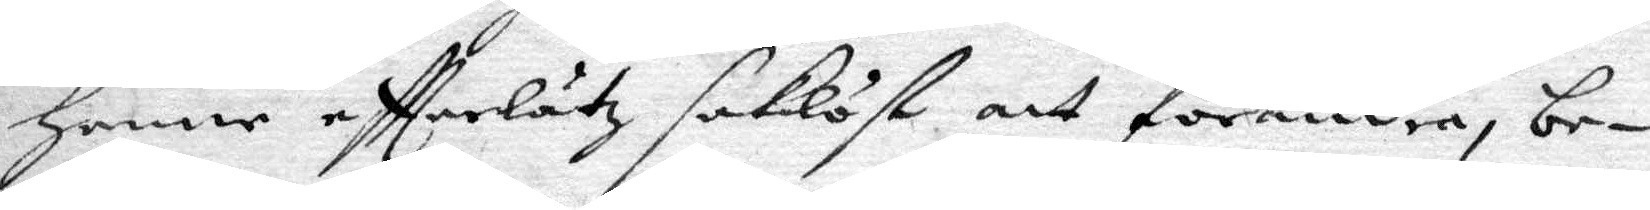henne eftterlätz saklöst att förendra, be¬
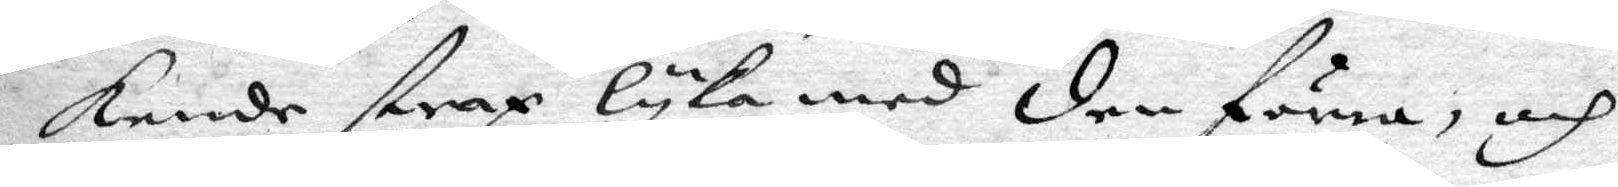kende strax lyka med den förra, och
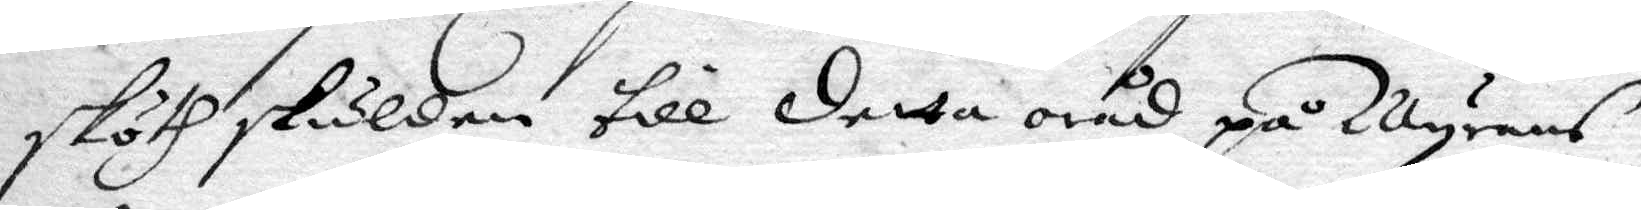sköth skulden till detta oråd på Myrans
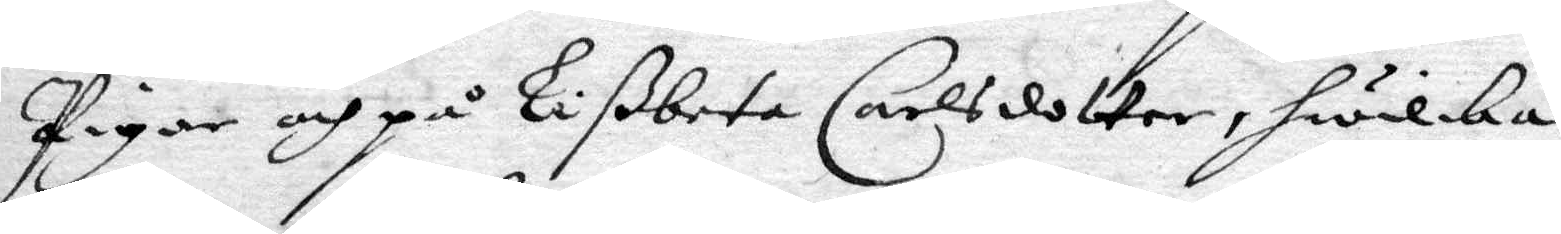Pigor och på Lißbeta Carlsdotter, hwilka
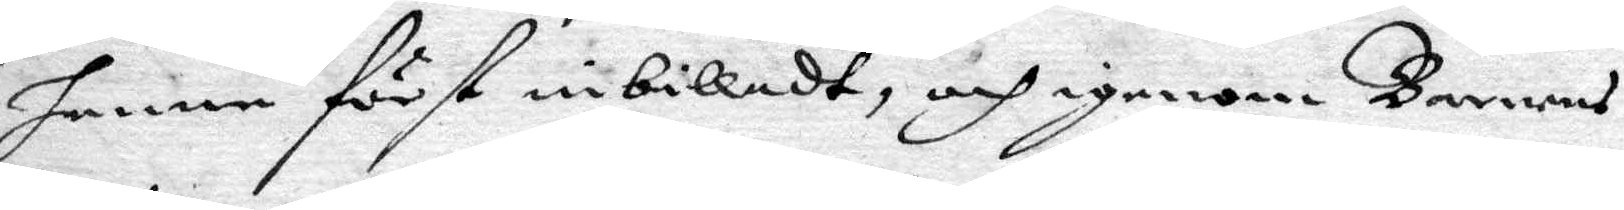henne först inbilladt, och igenom Barnens
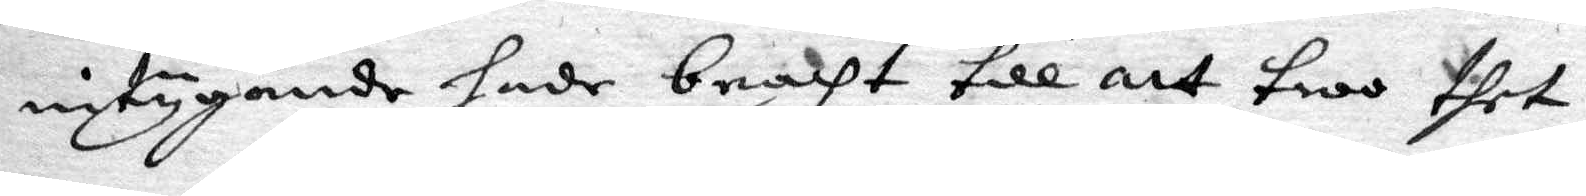intygande hade bracht till att troo thet
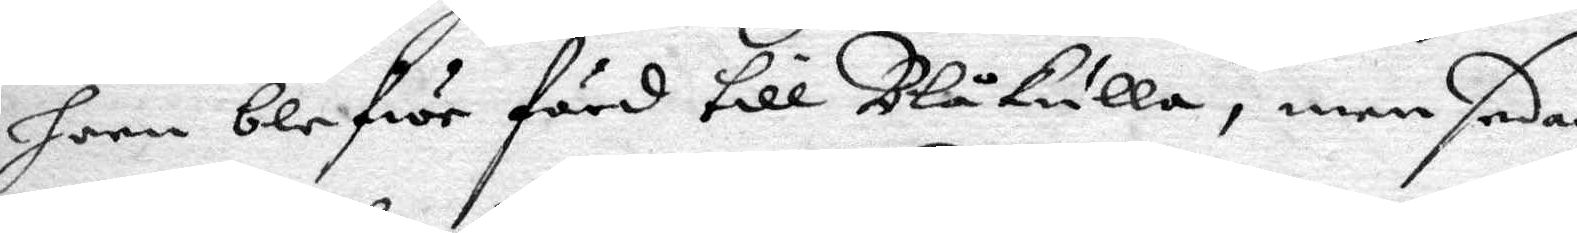honn blefwer förd till Blåkulla, men sedan
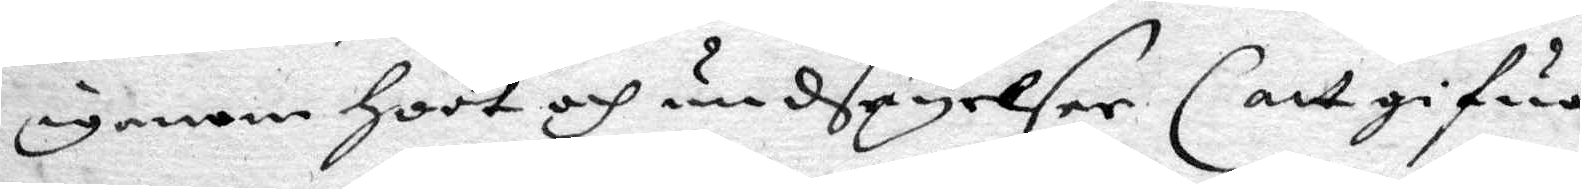igenom hoot och undsäyelser (att gifwa
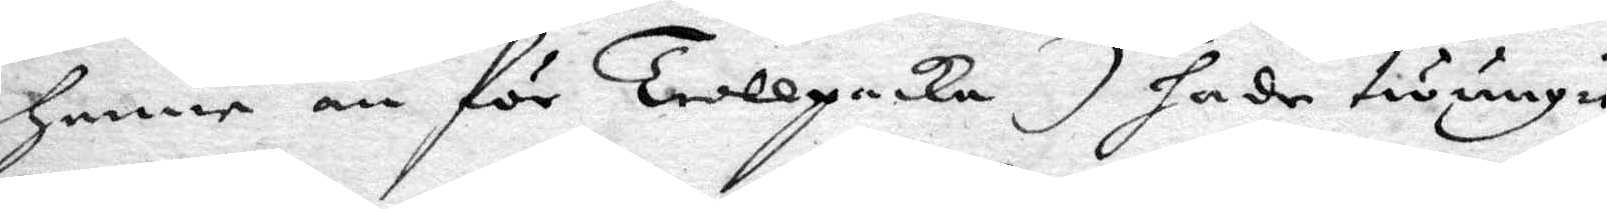henne an för Trollpacka) gade twungit
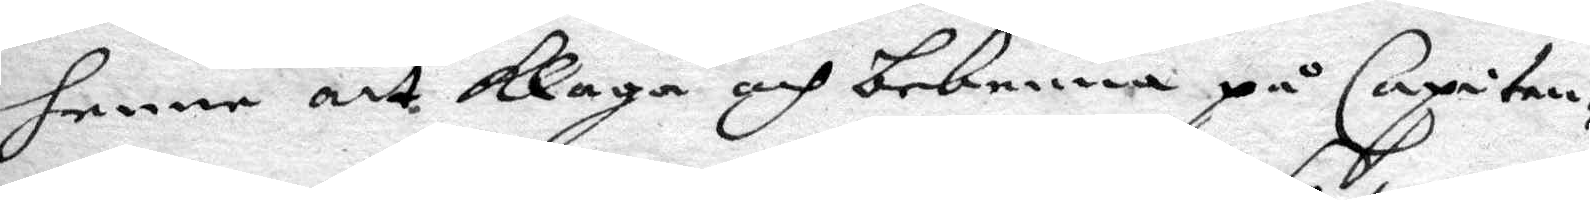henne att klaga och bekenna på Capiten¬
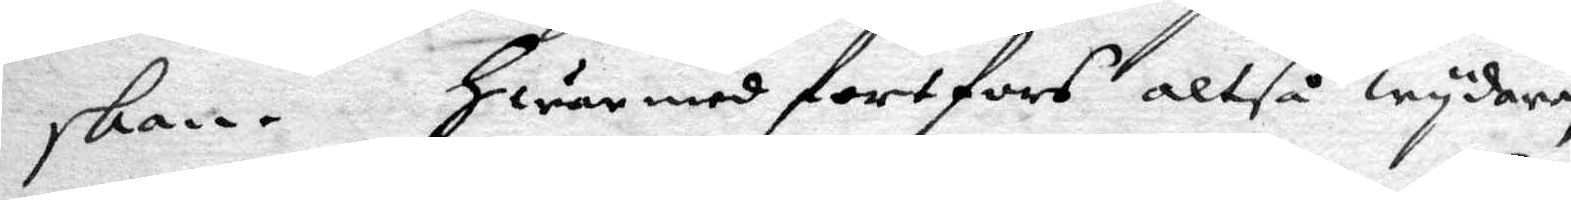skan. Hwarmed fortfors altså wydare,
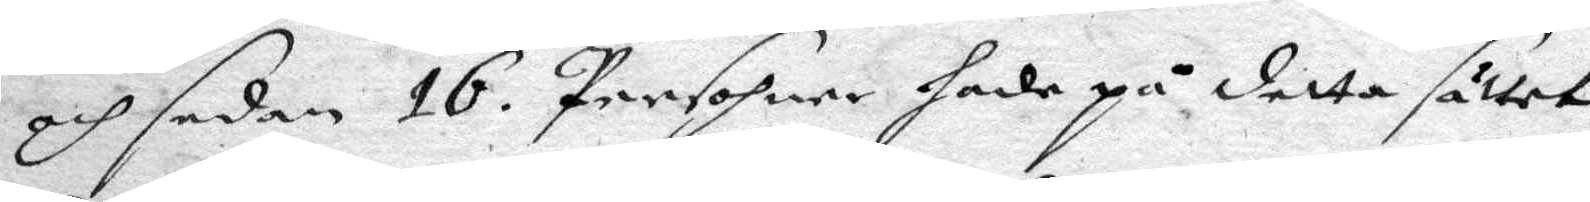och sedan 16 Persohner hade på detta sättet
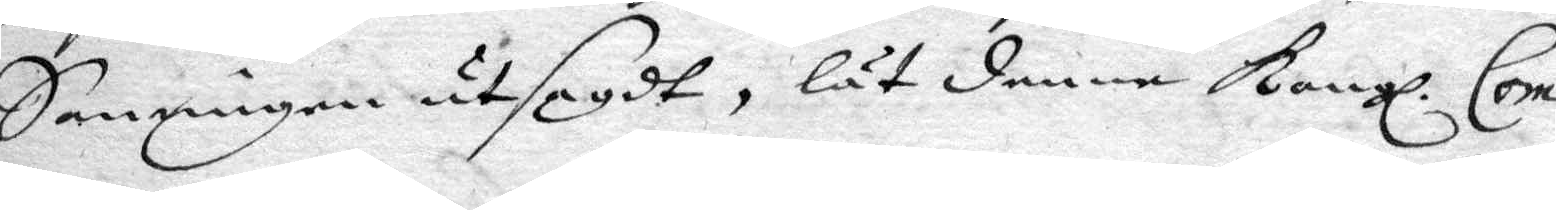Sanningen utsagdt, låt denna Kongl. Com¬
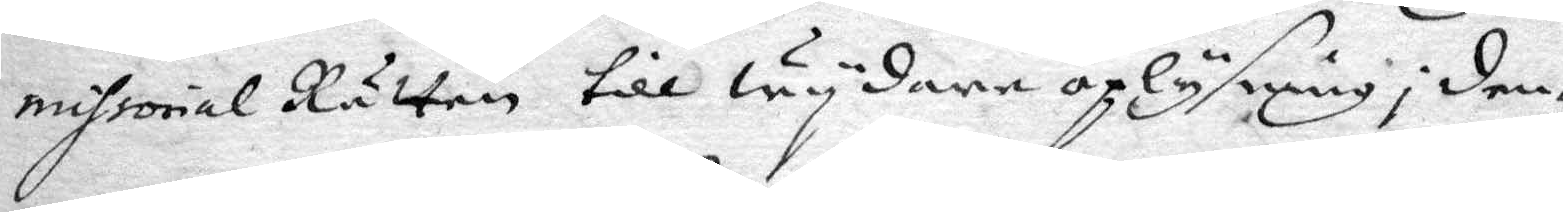missorial Rätten till wydare oplysning i den¬
